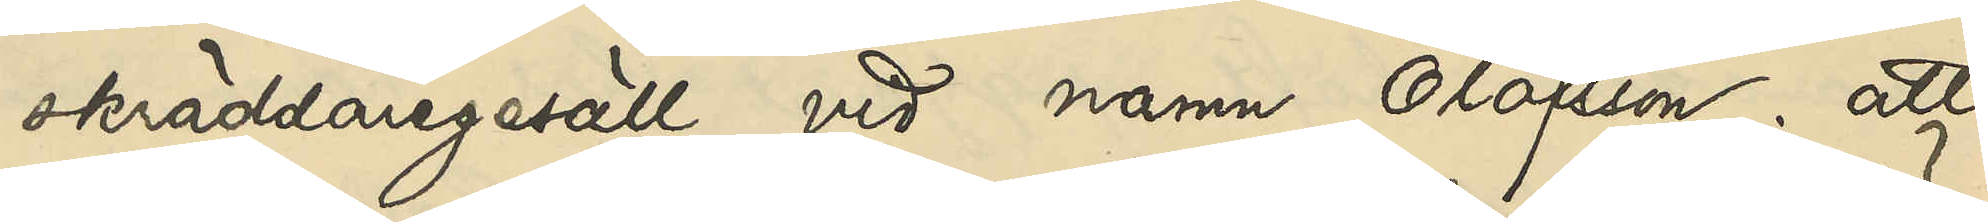skräddaregesäll vid namn Olofsson; att
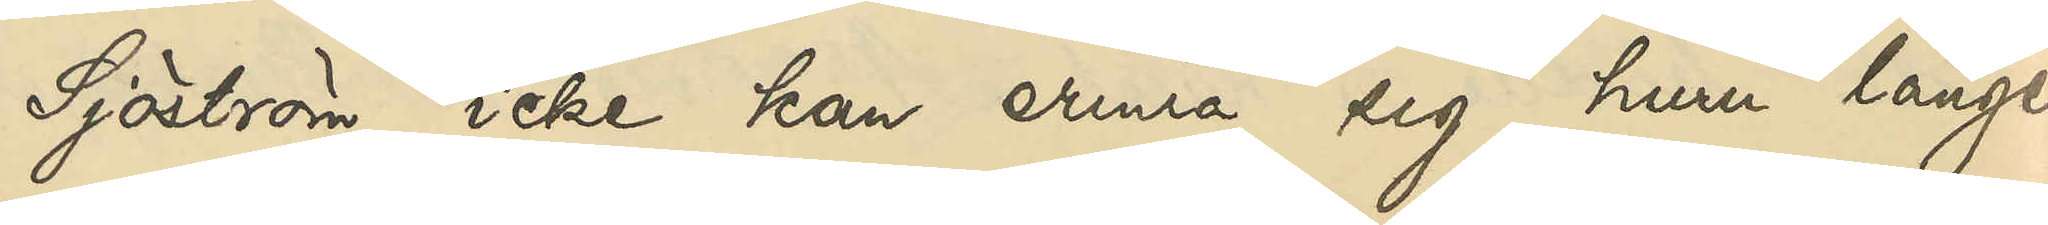Sjöström icke kan erinra sig, huru länge
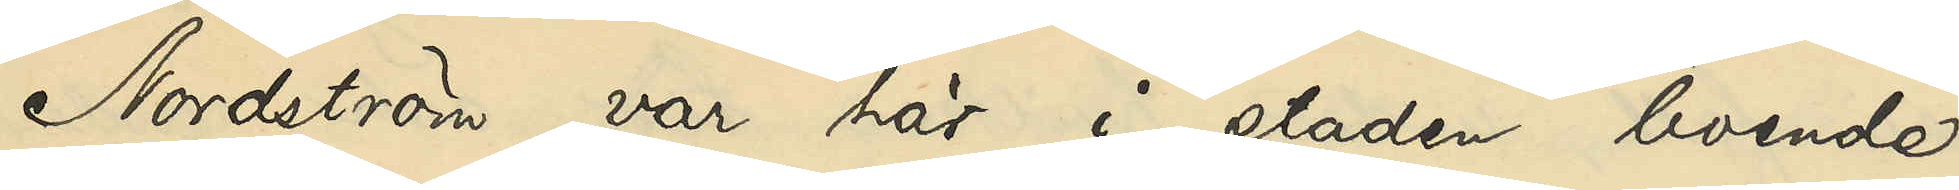Nordström var här i staden boende
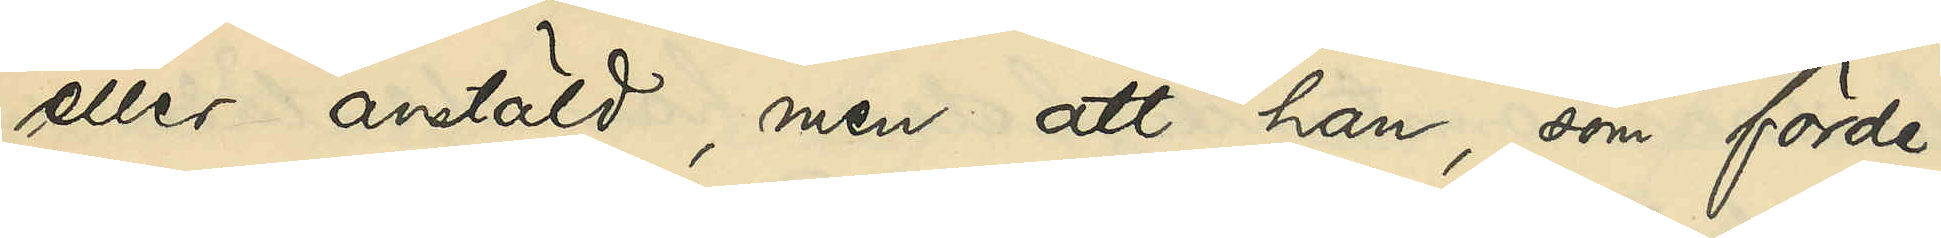eller anstäld, men att han, som förde
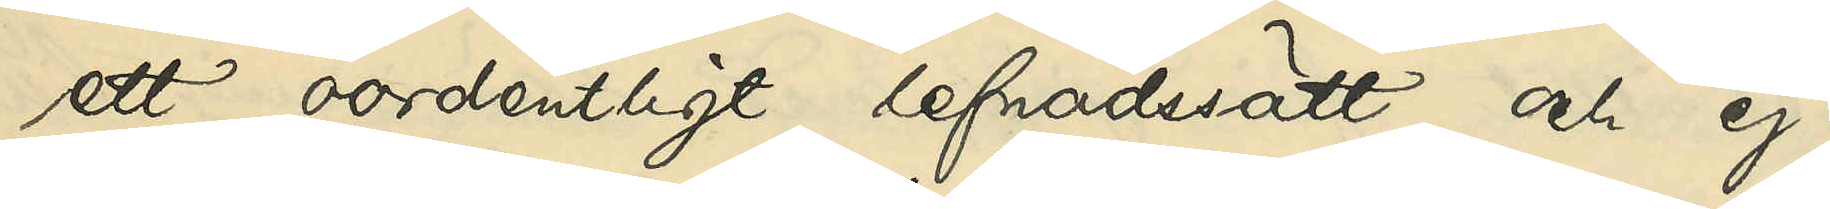ett oordentligt lefnadssätt och ej
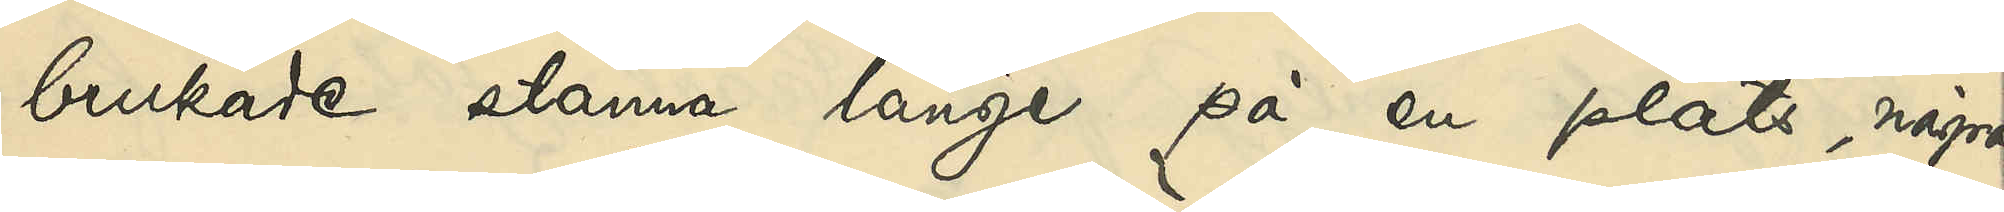brukade stanna länge på en plats, några
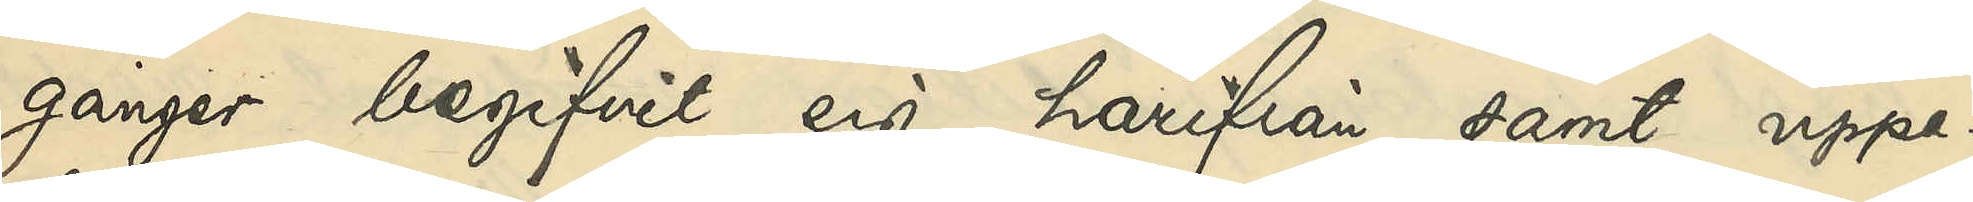gånger begifvit sig härifrån samt uppe¬
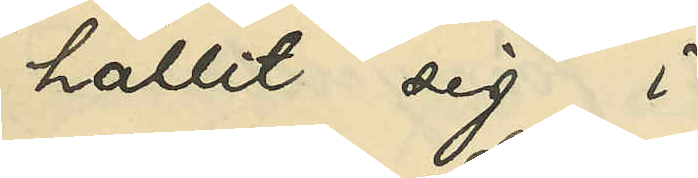hållit sig i 
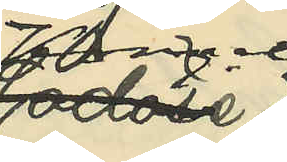Kongelf
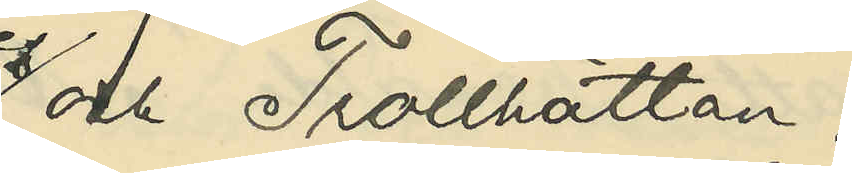och Trollhättan.
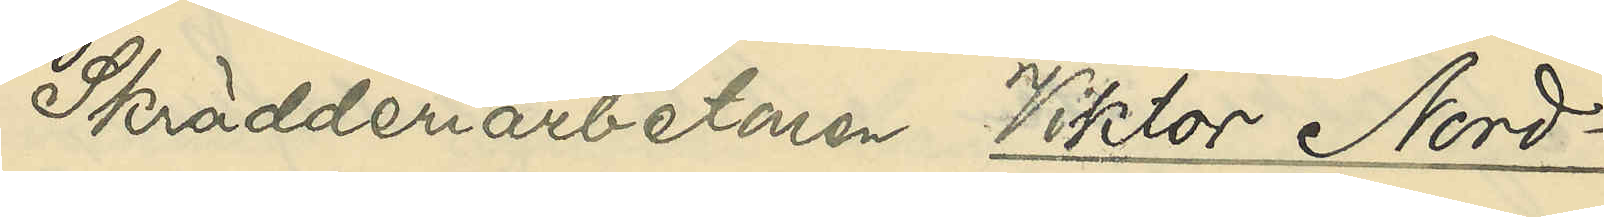Skrädderiarbetaren Viktor Nord¬
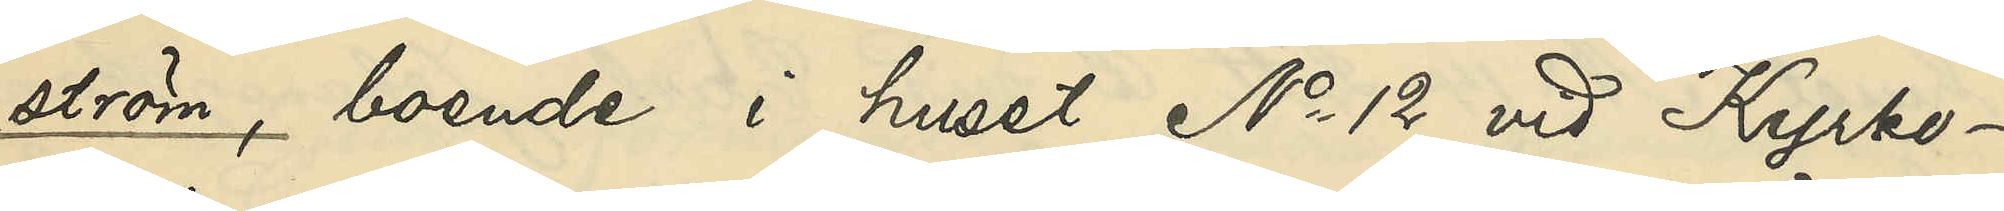ström boende i huset No 12 vid Kyrko¬
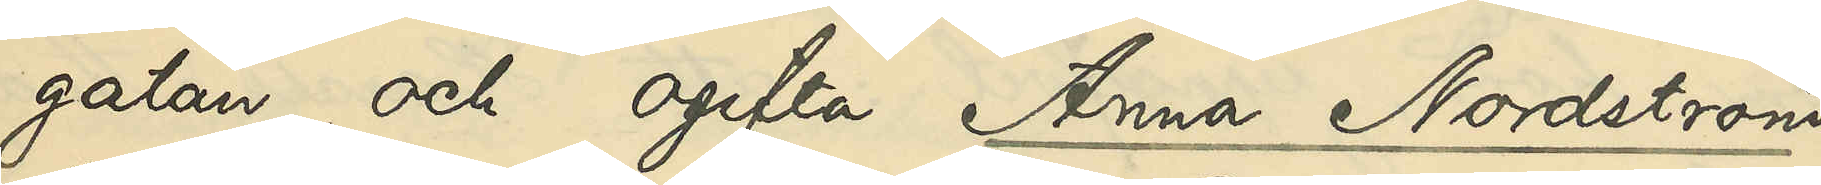gatan, och ogifta Anna Nordström,
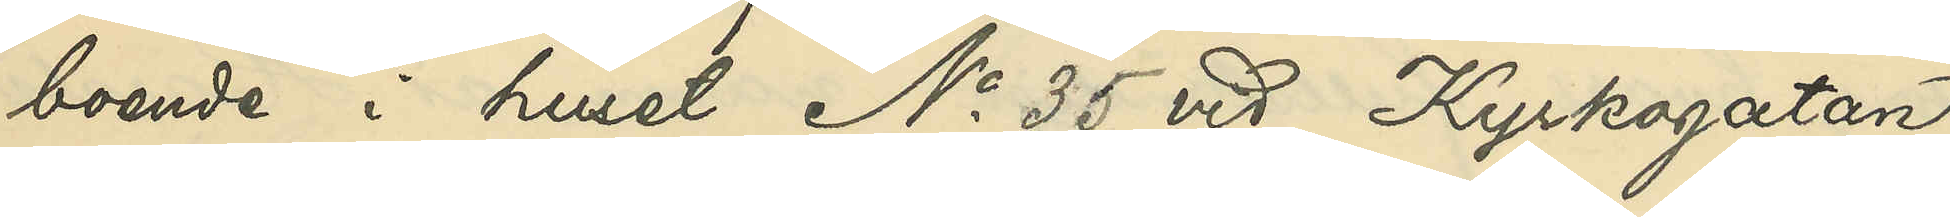boende i huset No 35 vid Kyrkogatan,
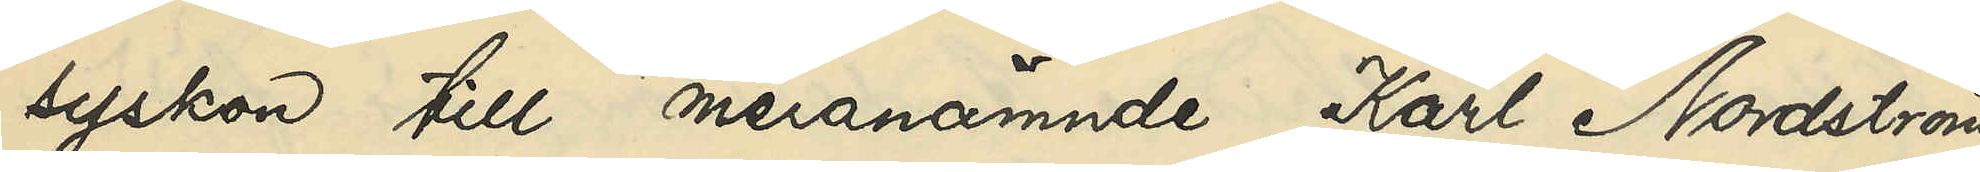syskon till meranämnde Karl Nordström,
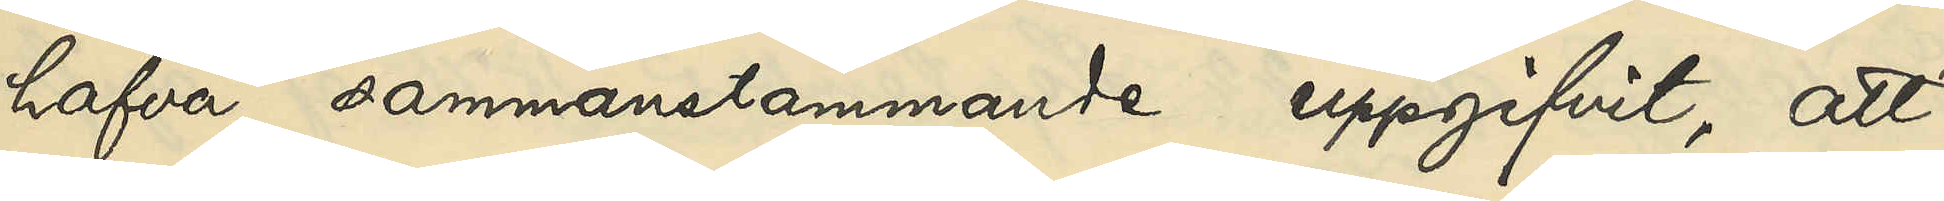hafva sammanstämmande uppgifvit, att
